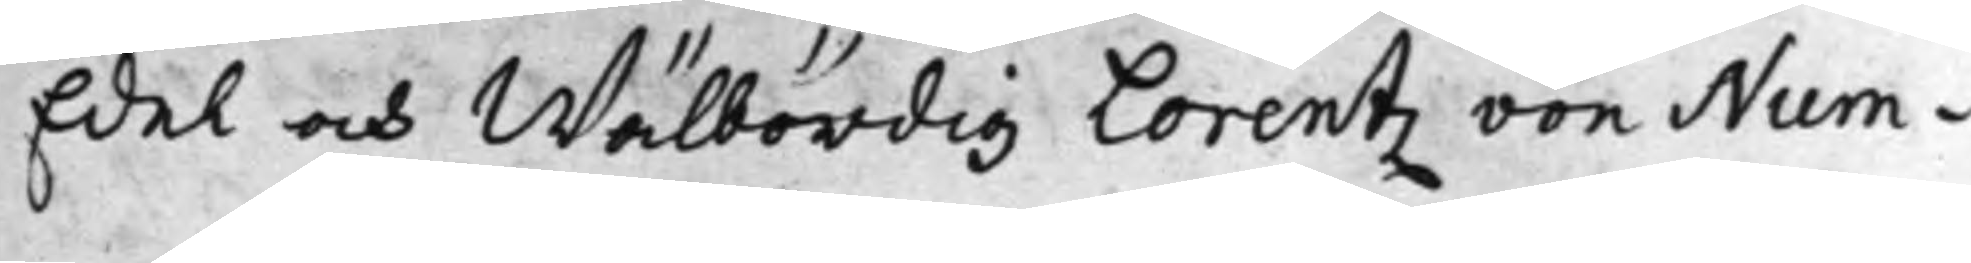Edel och Wälbördig Lorentz von Num¬
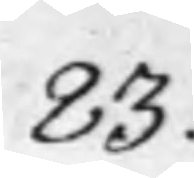83.
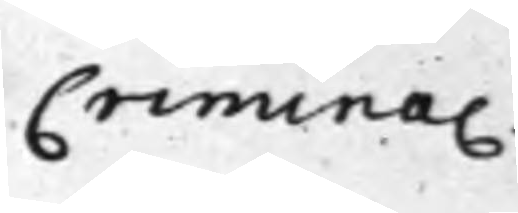Crimina.
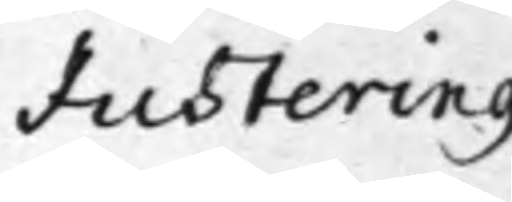Justering
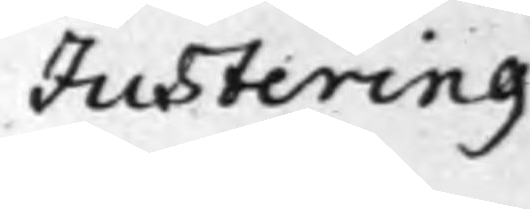Justering
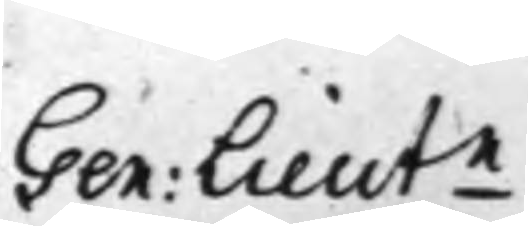Gen: Lieutn
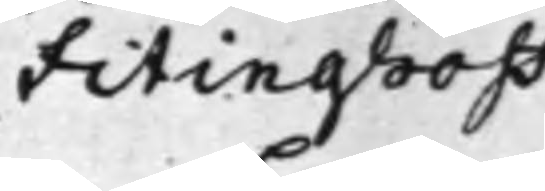Fitinghoof
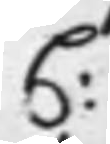C:
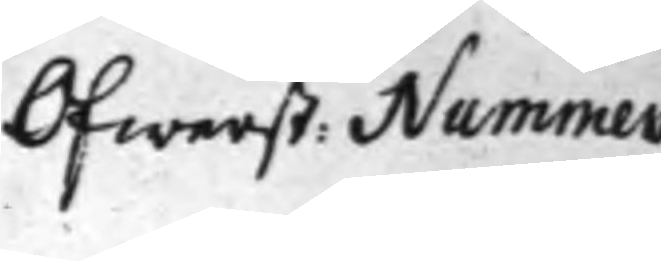Öfwerst: Nummer
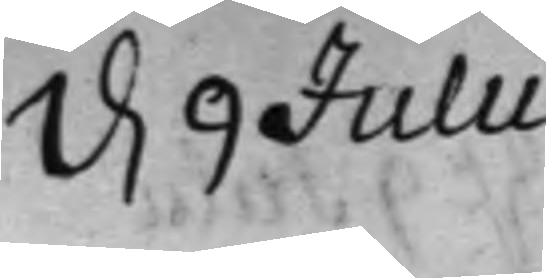d. 9 Julii
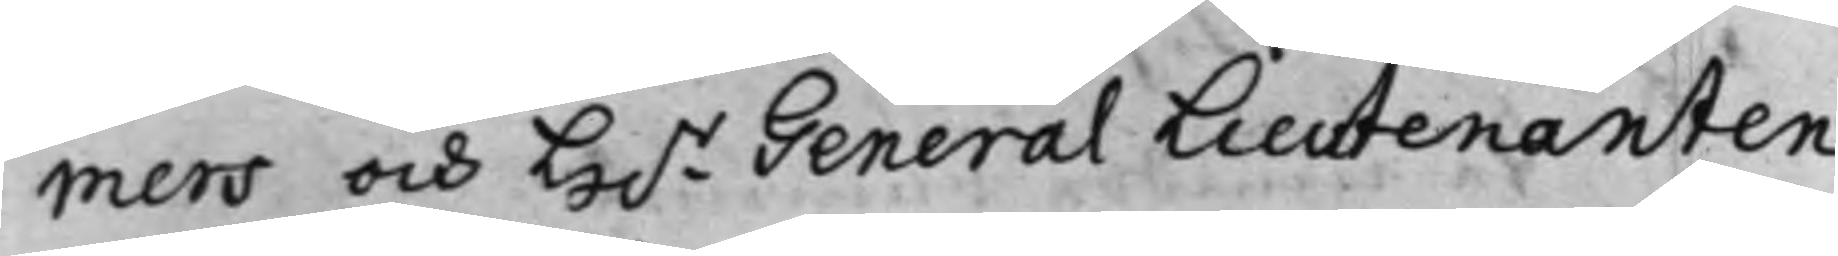mers och H.r General Lieutenanten
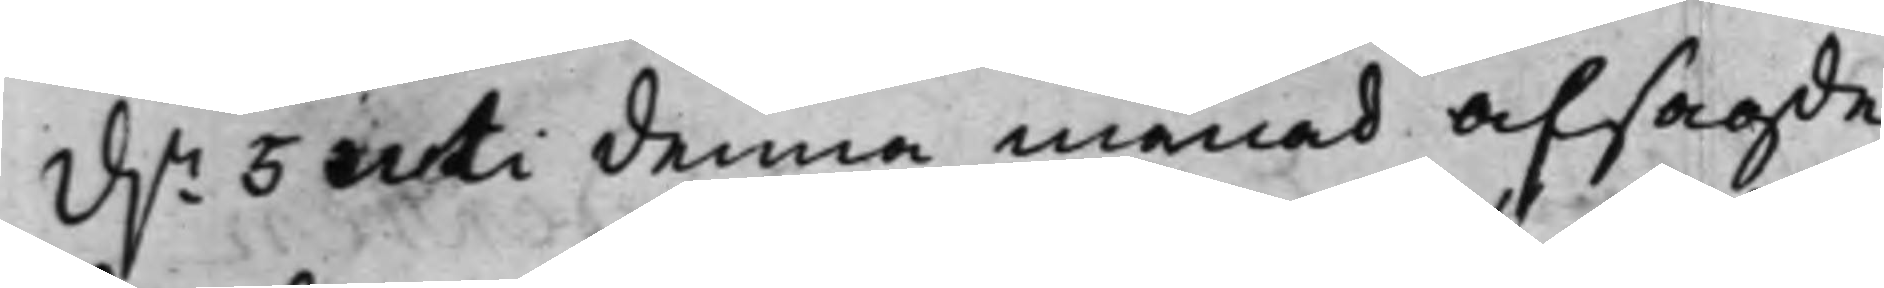d.n 5 uti denna månad afsagde
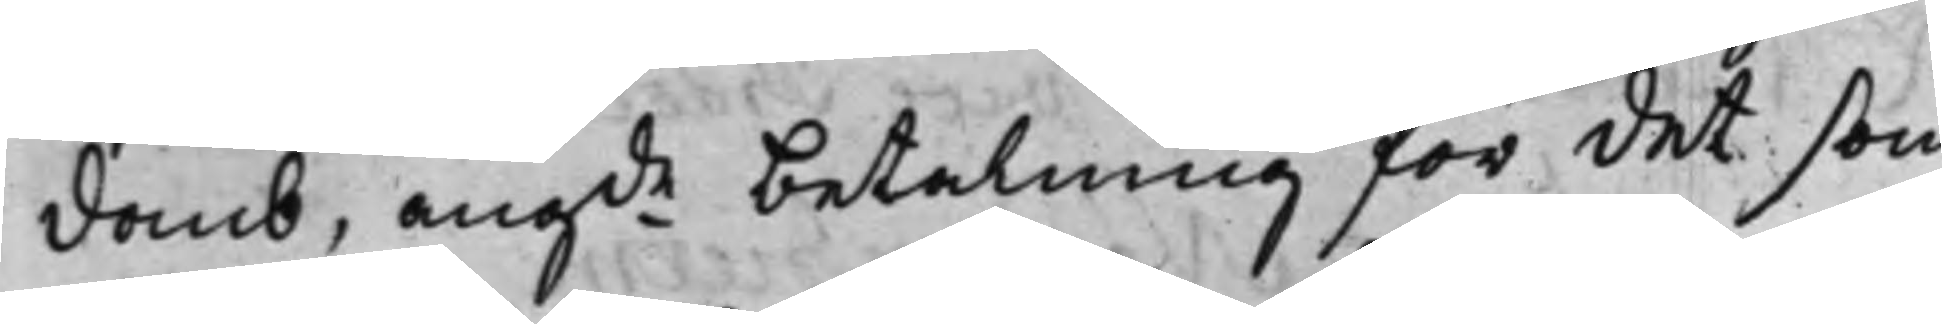domb, angde betalning för det som
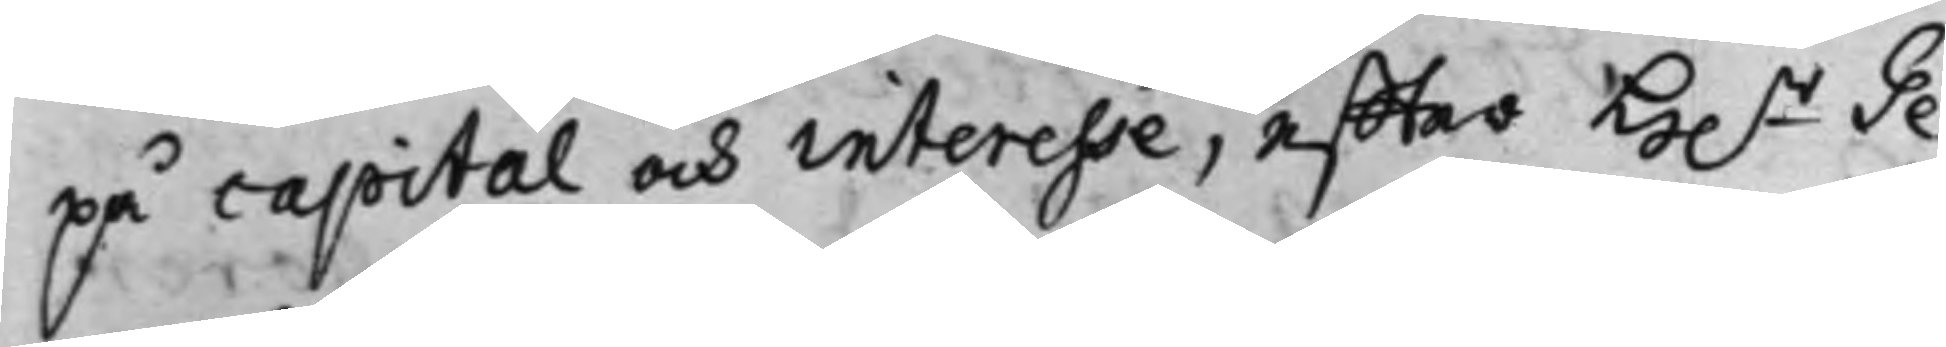på capital och interesse, effter H.r Ge¬
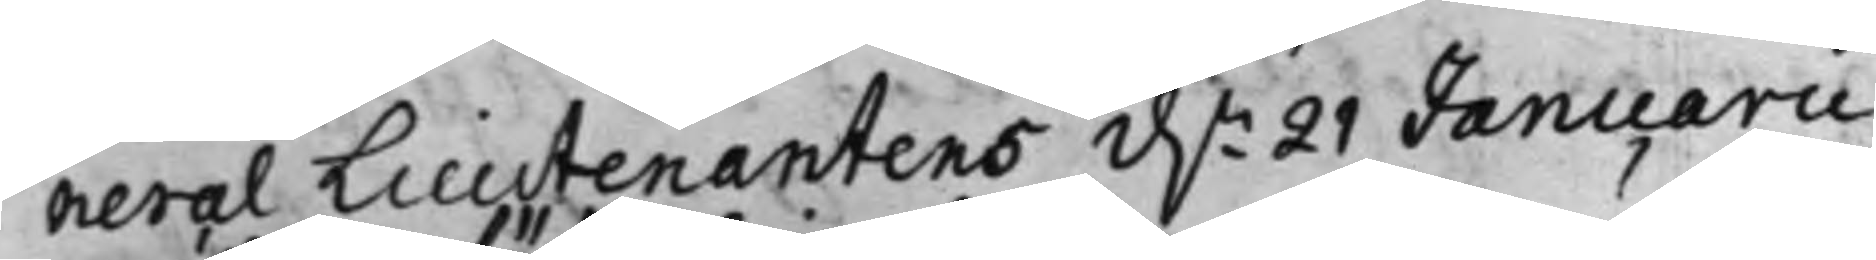neral Lieutenantens d.n 21 Januarii
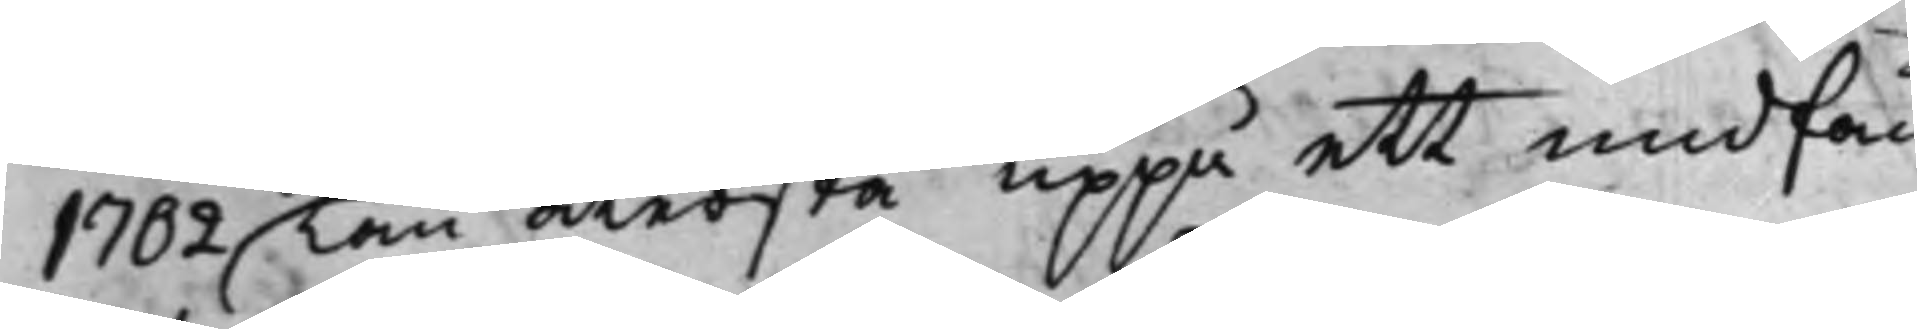1702 kan återstå uppå ett undfån¬
